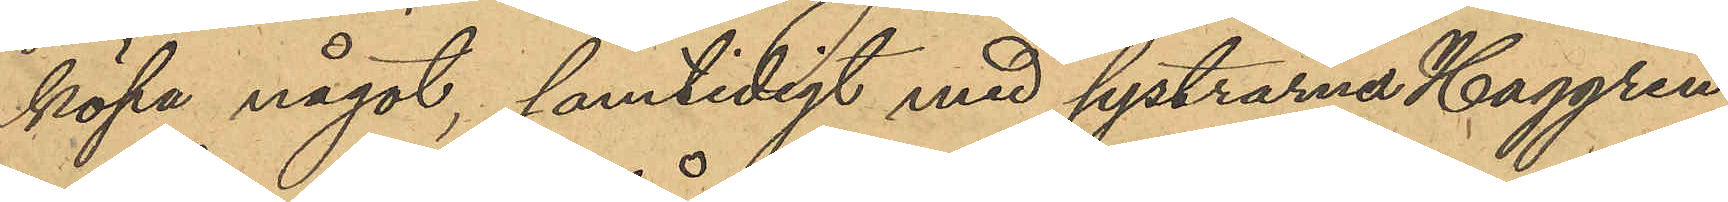köpa något, samtidigt med systrarna Haggren
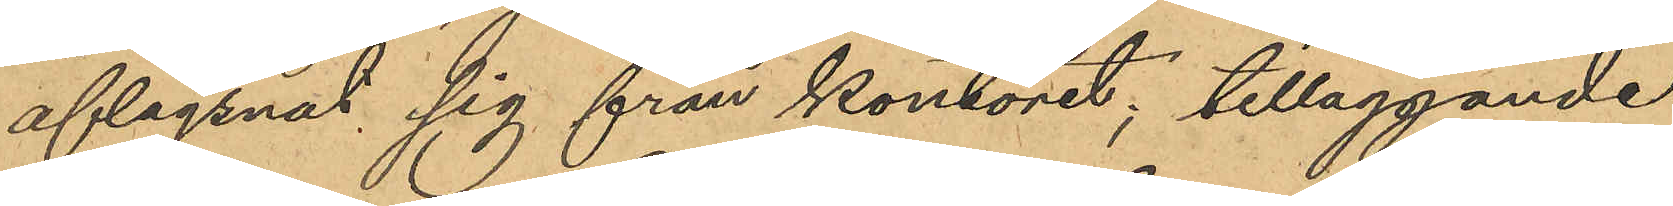aflägsnat sig från kontoret; tilläggande
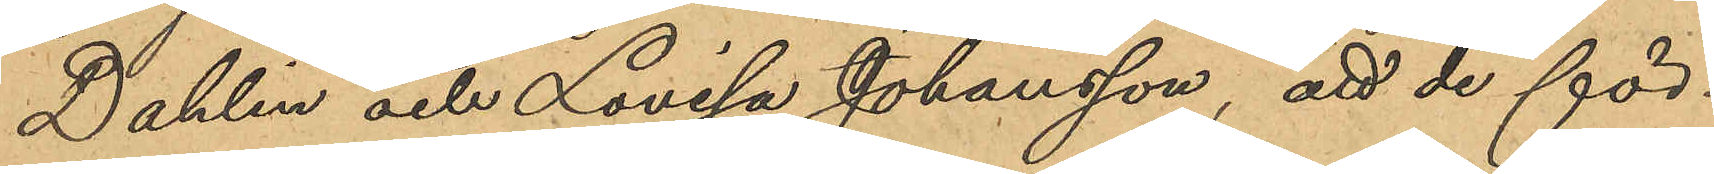Dahlin och Lovisa Johansson, att de för¬
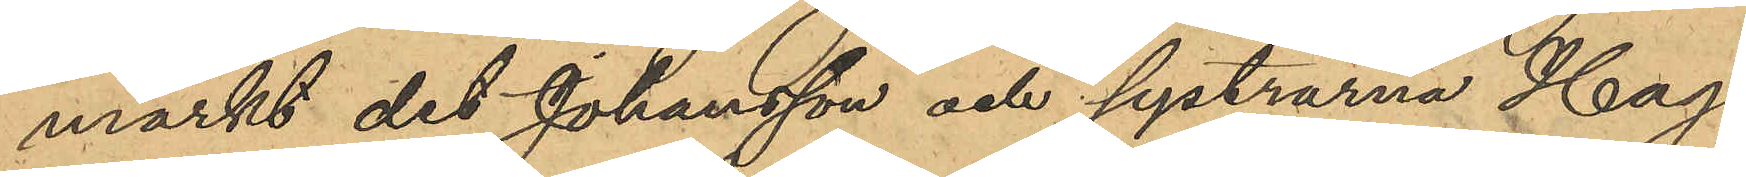märkt det Johansson och systrarna Hag¬
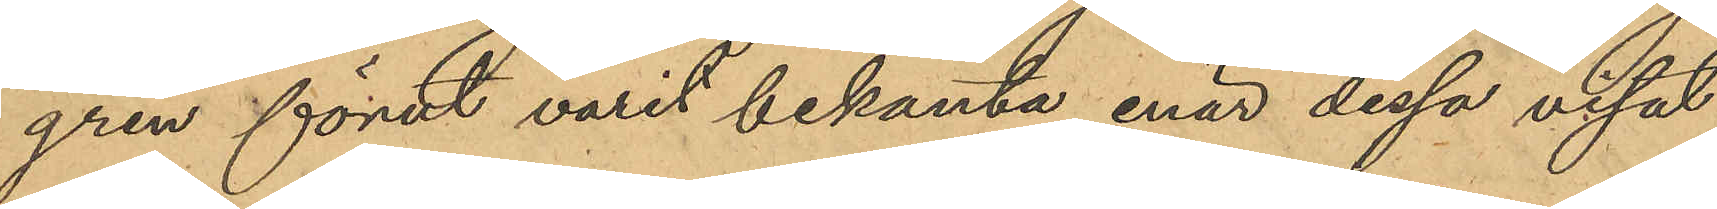gren förut varit bekanta enär dessa visat
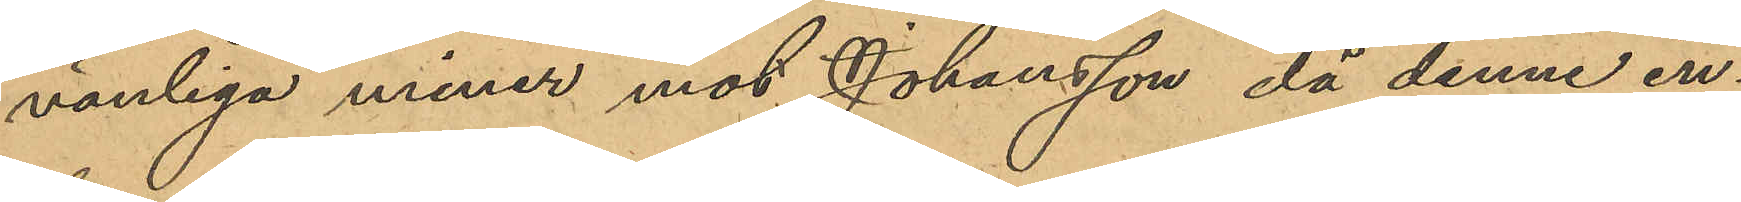vänliga miner mot Johansson då denne in¬
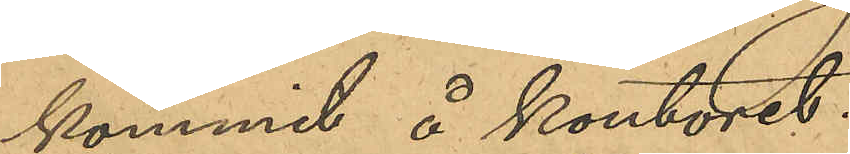kommit å kontoret.
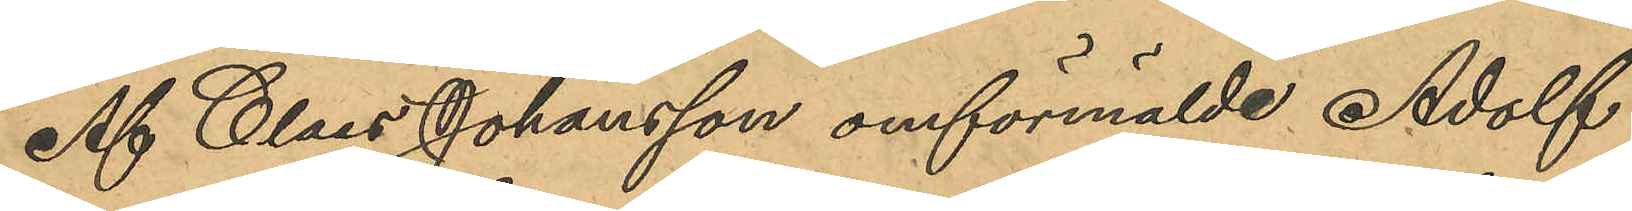Af Claes Johansson omförmälde Adolf 
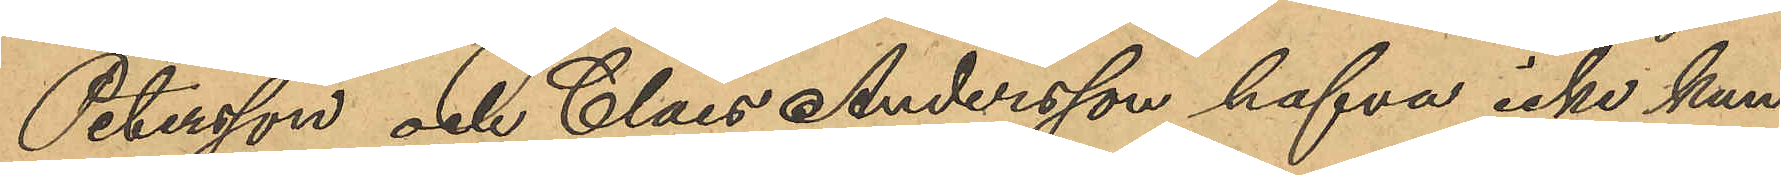Petersson och Claes Andersson hafva icke kun¬
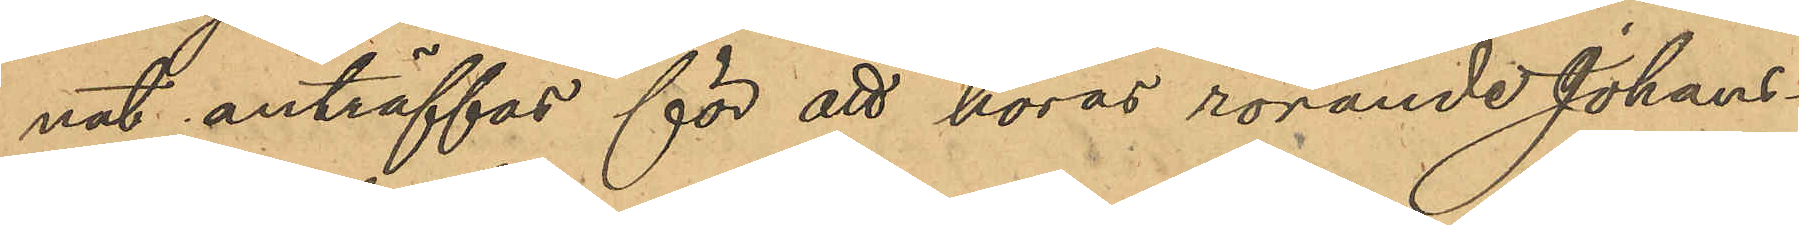nat anträffas för att höras rörande Johans¬
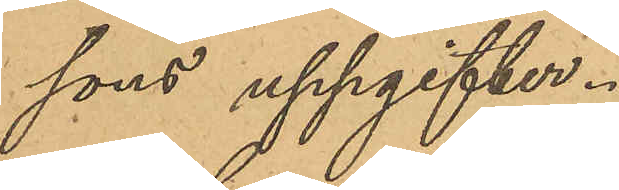sons uppgifter.
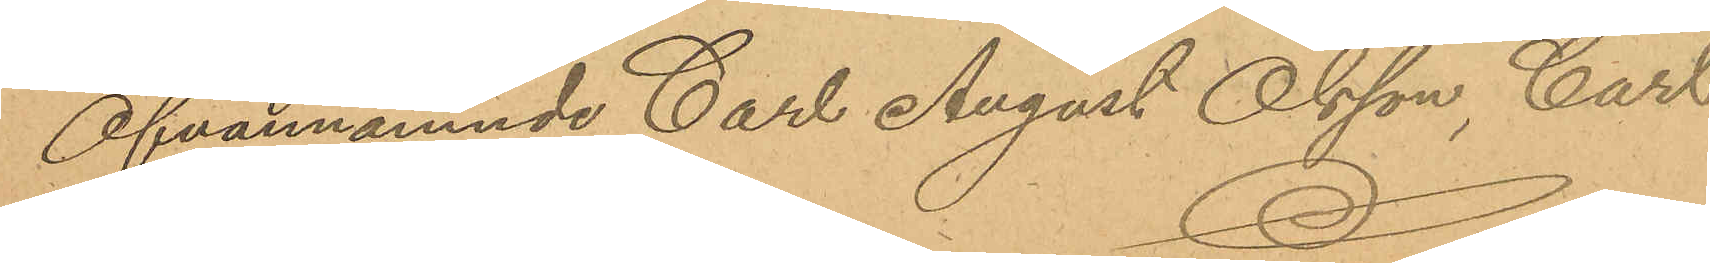Ofvannämnde Carl August Olsson, Carl
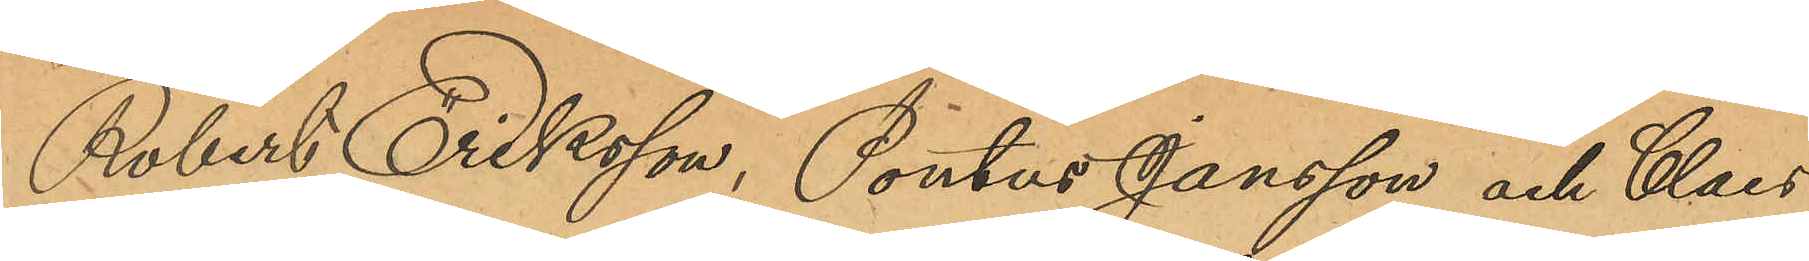Robert Eriksson, Pontus Jansson och Claes
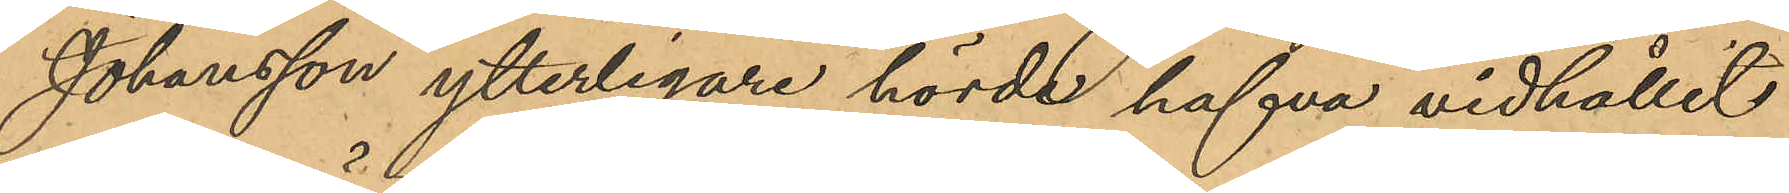Johansson ytterligare hörda hafva vidhållit
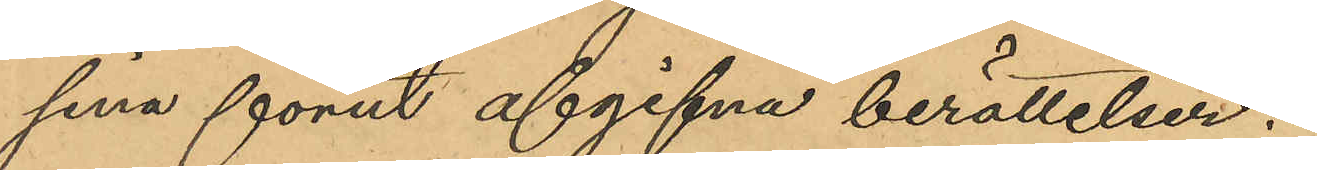sina förut afgifna berättelser.
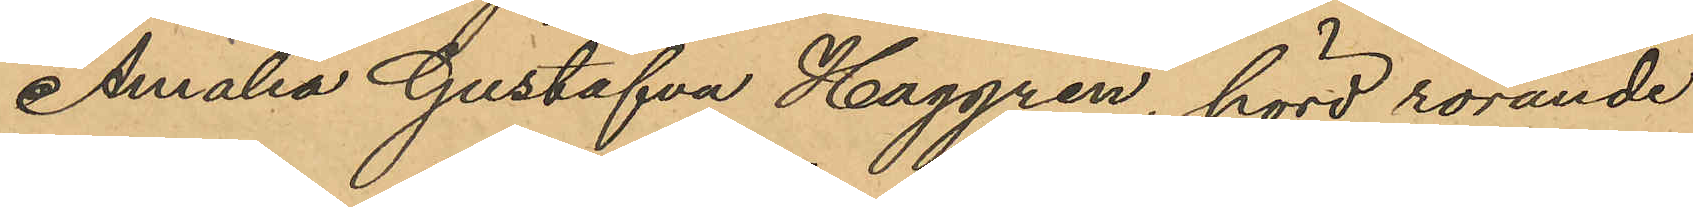Amalia Gustafva Haggren, hörd rörande
